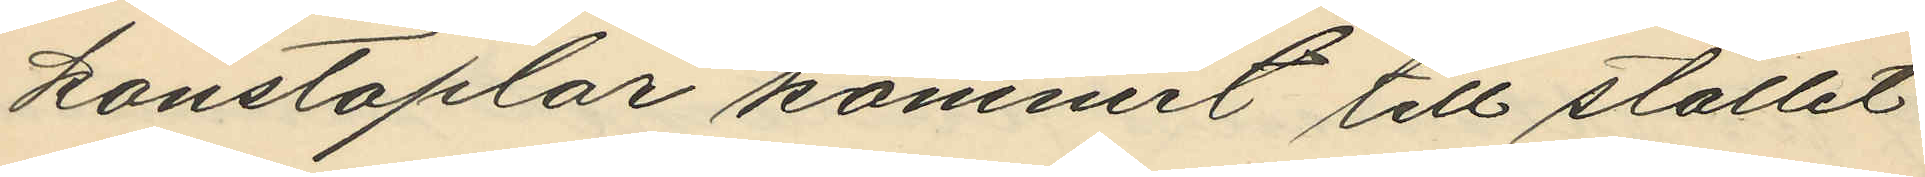konstaplar kommit till stället
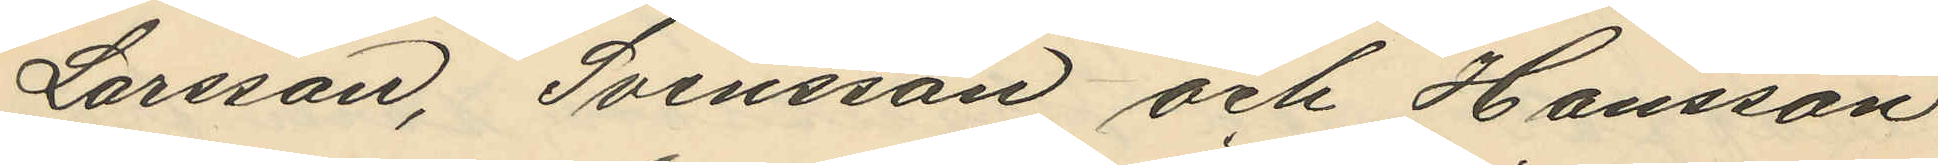Larsson, Svensson och Hansson
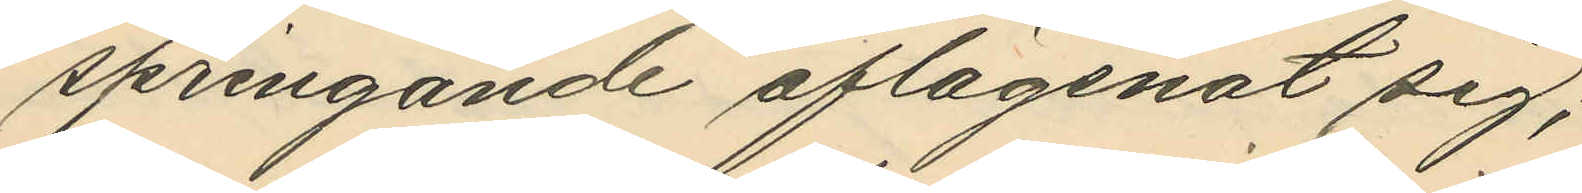springande aflägsnat sig;
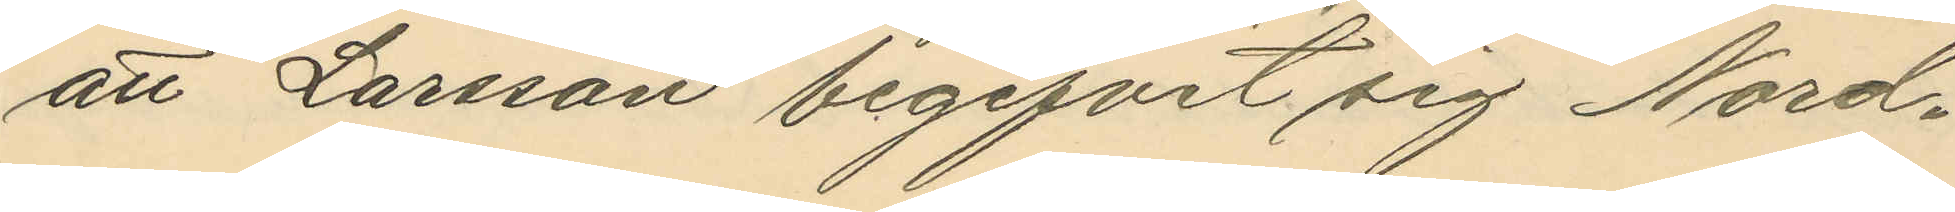att Larsson begifvit sig Nord¬
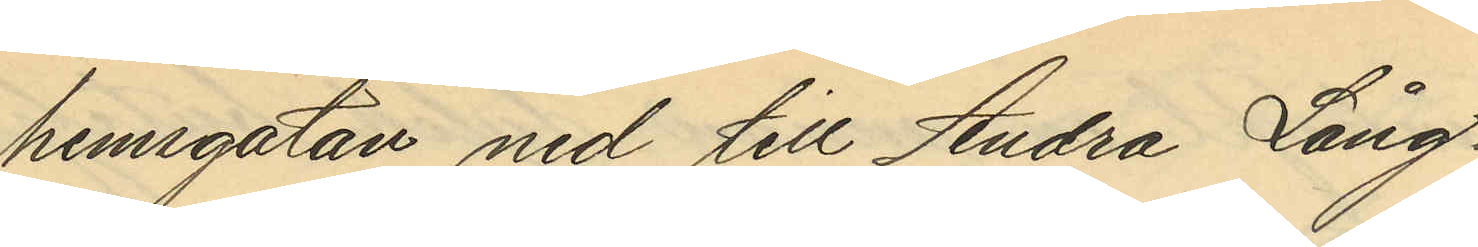hemsgatan ned till Andra Lång¬
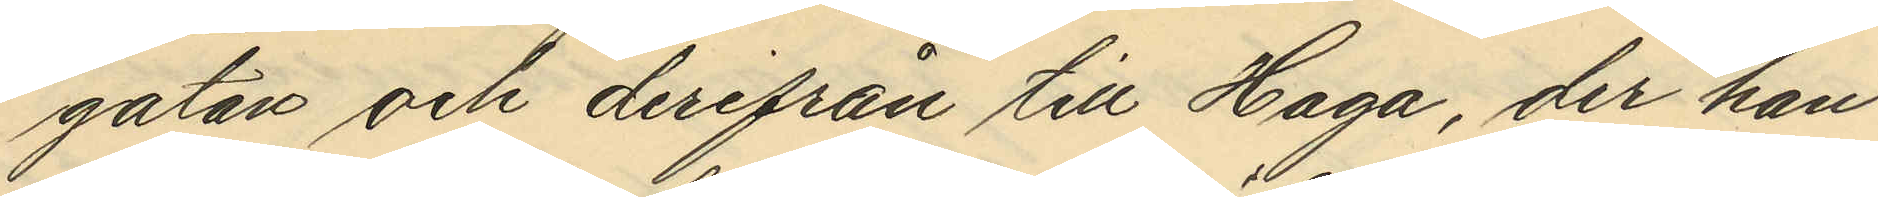gatan och derifrån till Haga, der han
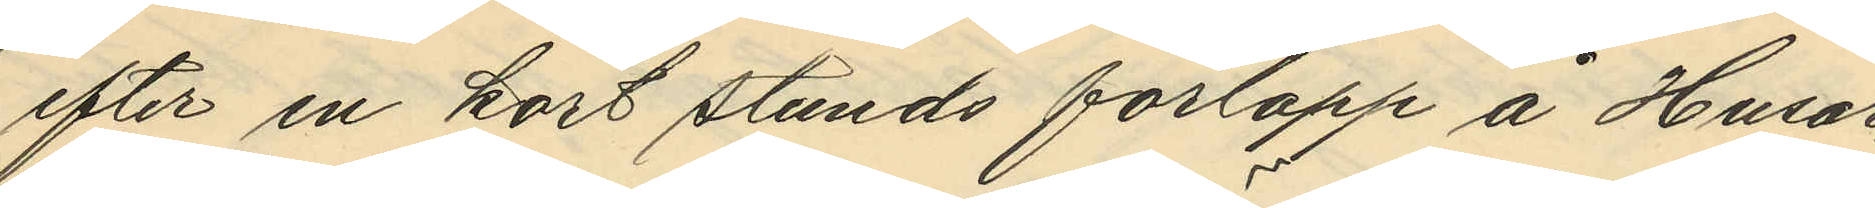efter en kort stunds förlopp å Husar¬
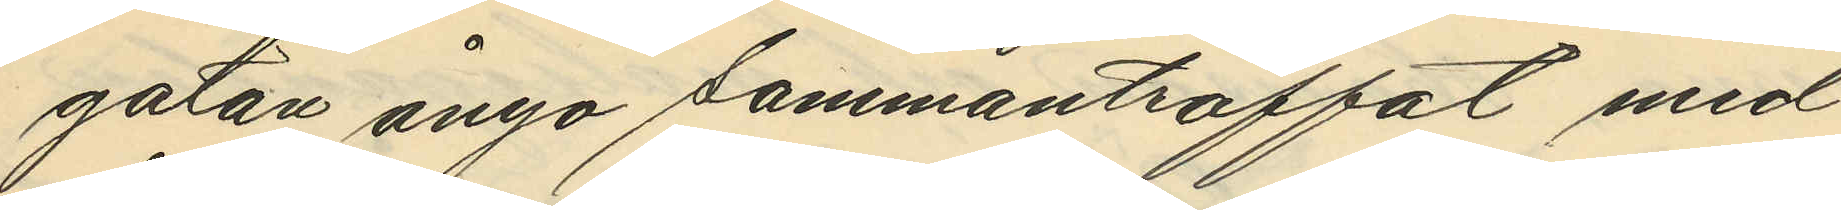gatan ånyo sammanträffat med
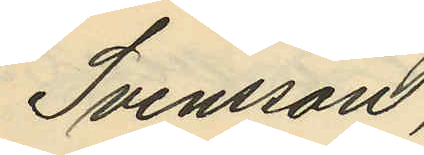Svensson,
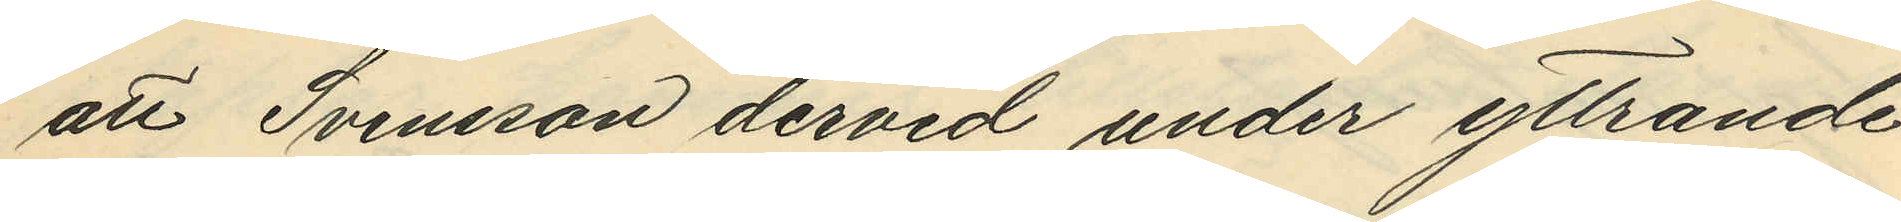att Svensson dervid under yttrande
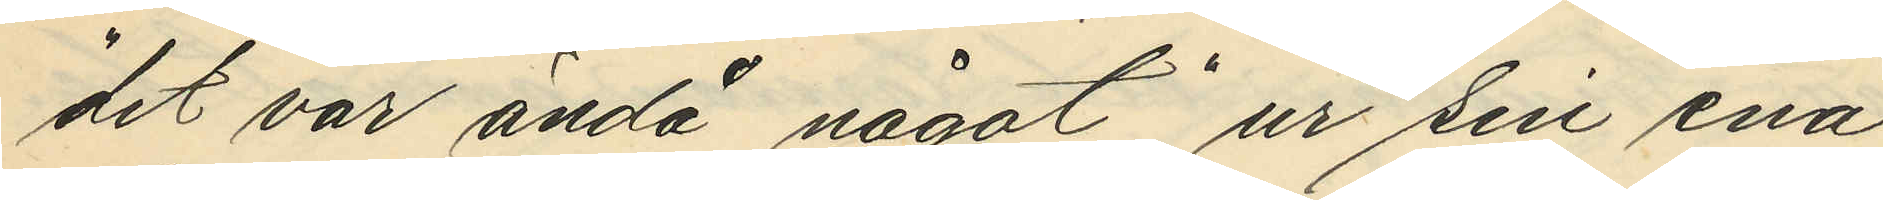"det var ändå något" ur sin ena
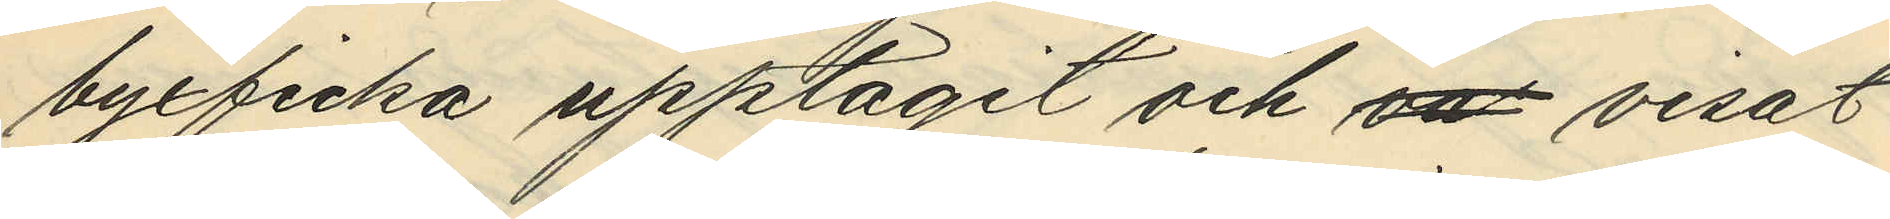byxficka upptagit och va visat
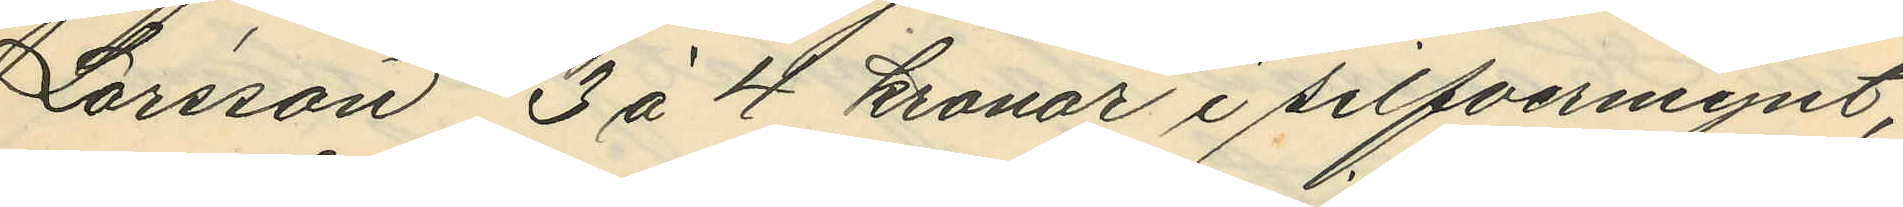Larsson 3 à 4 kronor i silfvermynt;
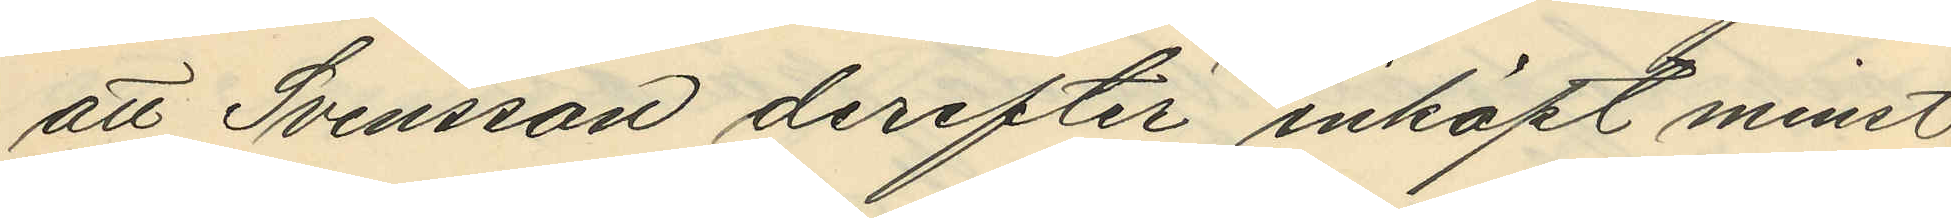att Svensson derefter inköpt minst
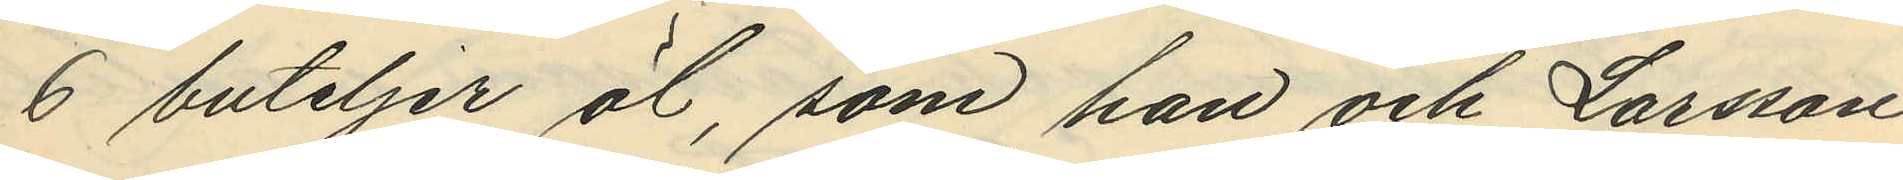6 buteljer öl, som han och Larsson
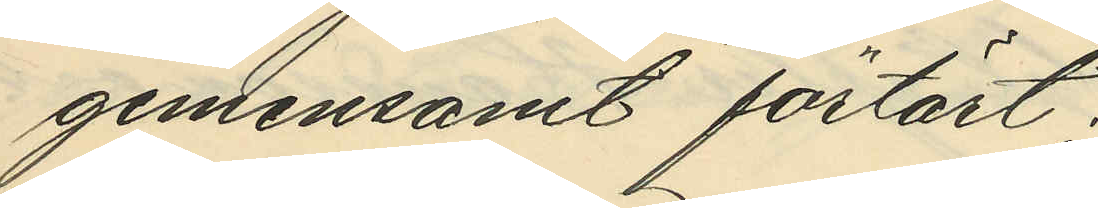gemensamt förtärt;
